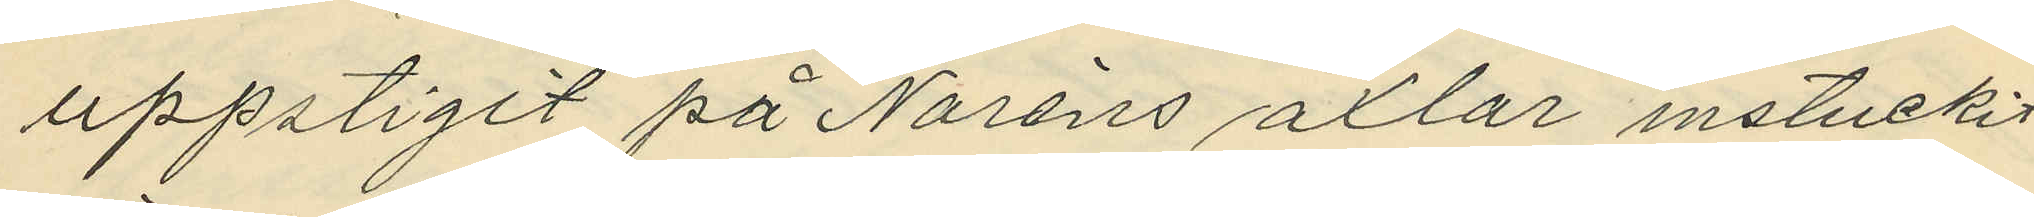uppstigit på Noréns axlar instuckit
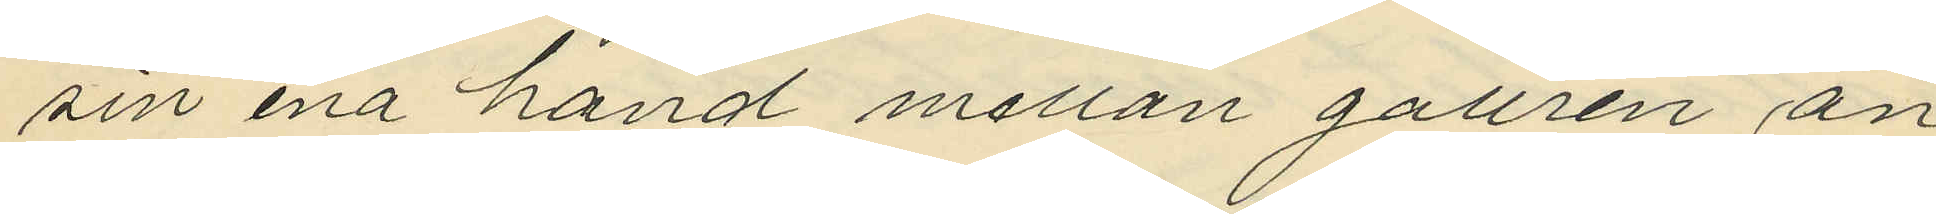sin ena hand mellan gallren an¬
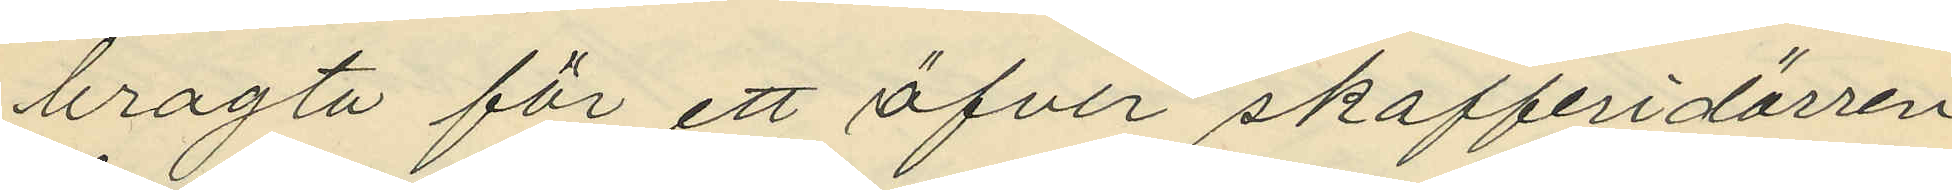bragta för ett öfver skafferidörren
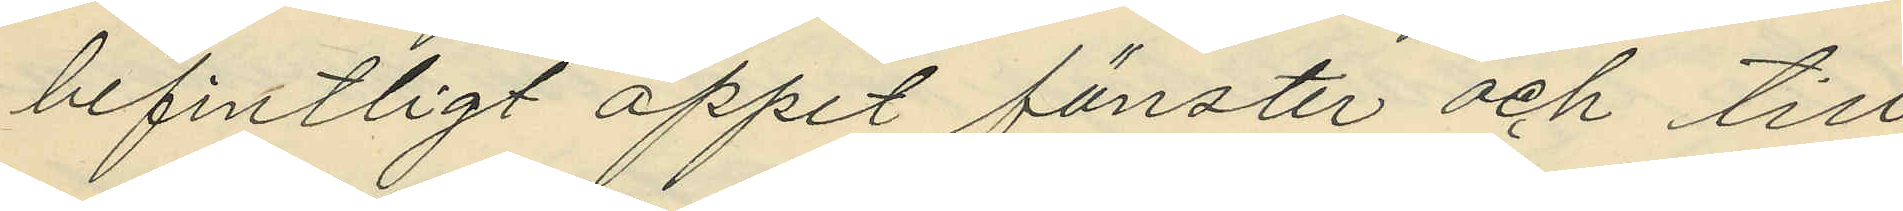befintligt öppet fönster och till¬
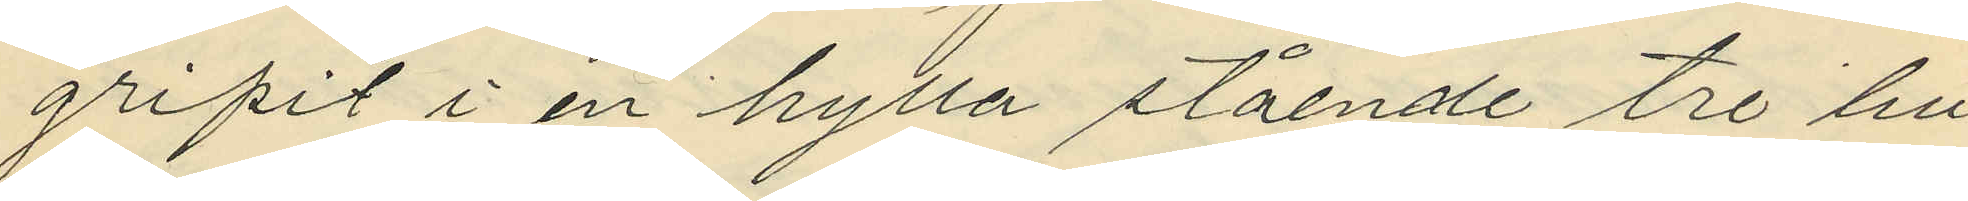gripit i en hylla stående tre bu¬
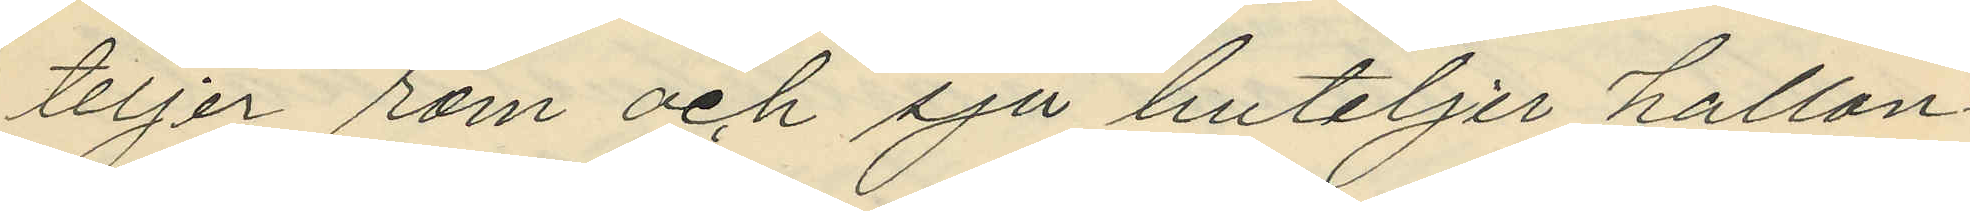teljer rom och sju buteljer hallon¬
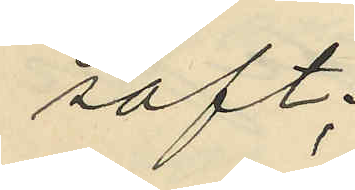saft;
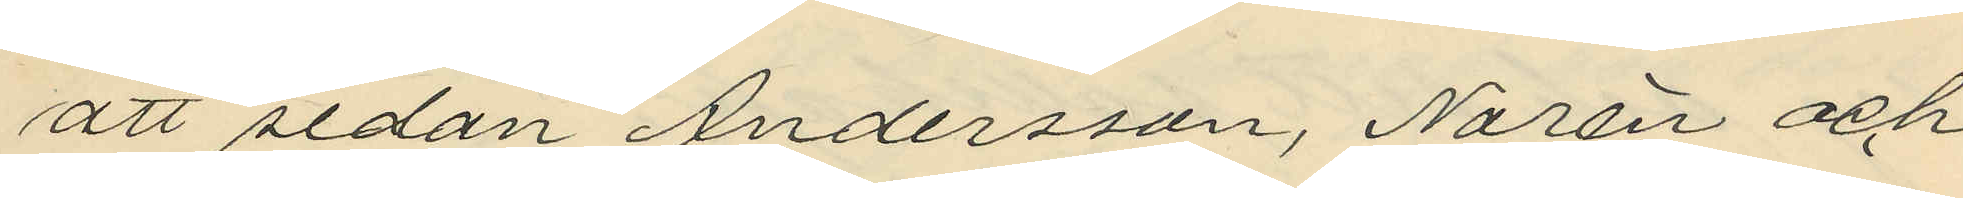att sedan Andersson, Norén och
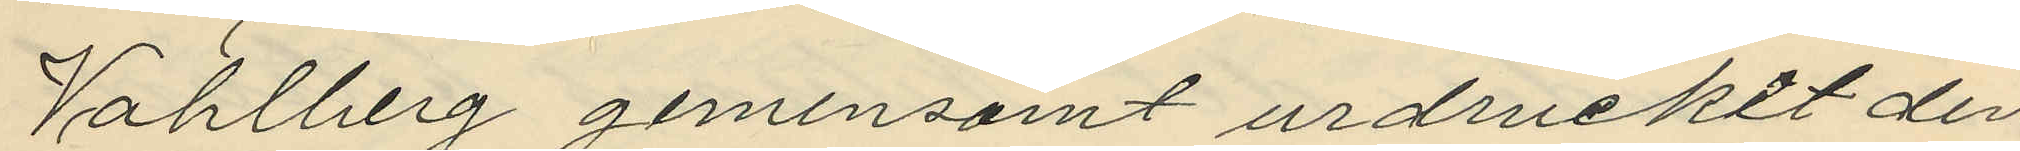Vahlberg gemensamt urdruckit den
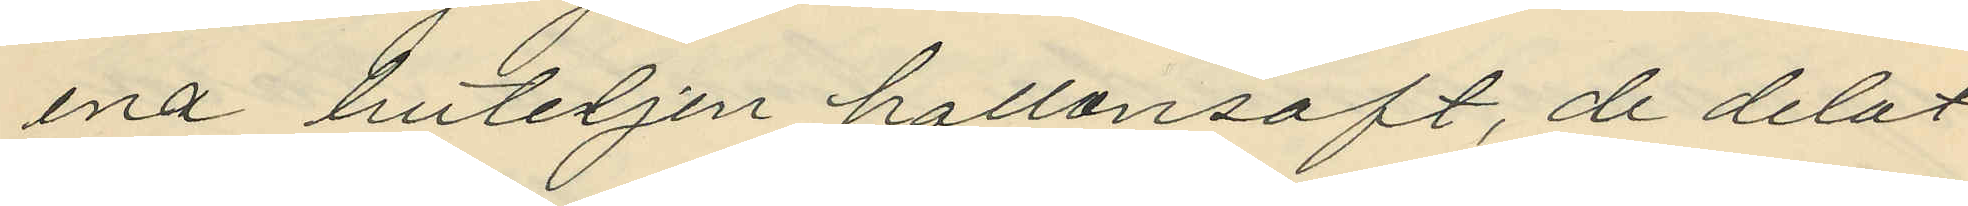ena buteljen hallonsaft, de delat
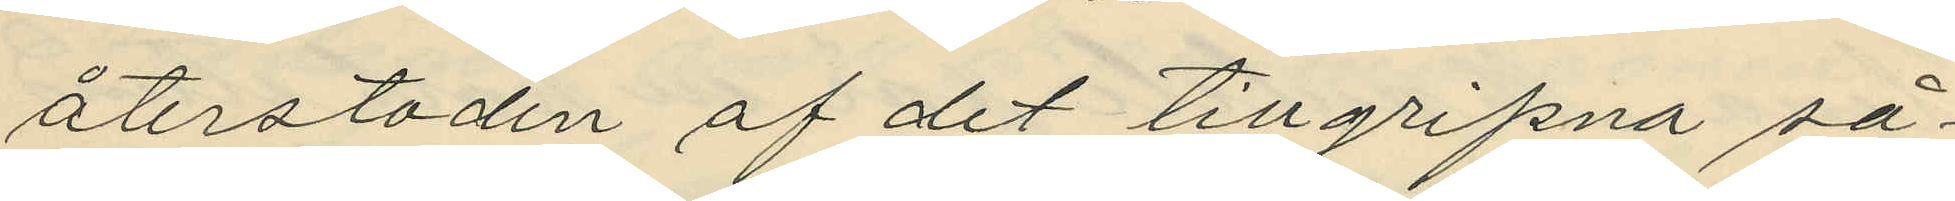återstoden af det tillgripna så¬
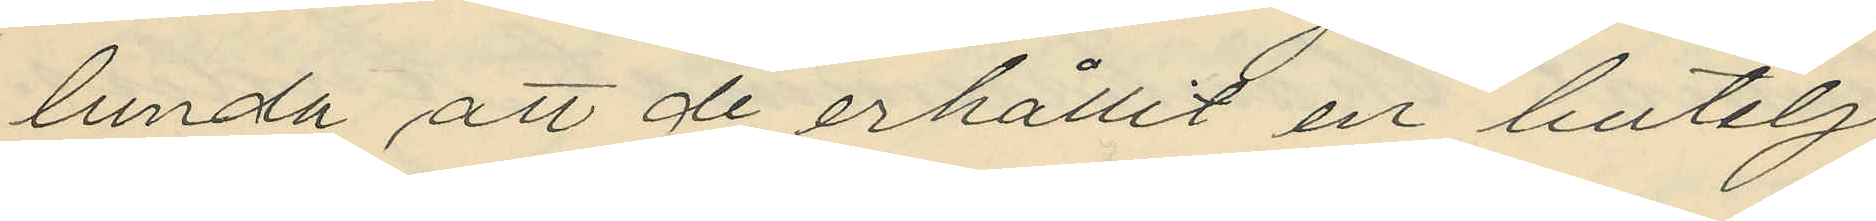lunda att de erhållit en butelj
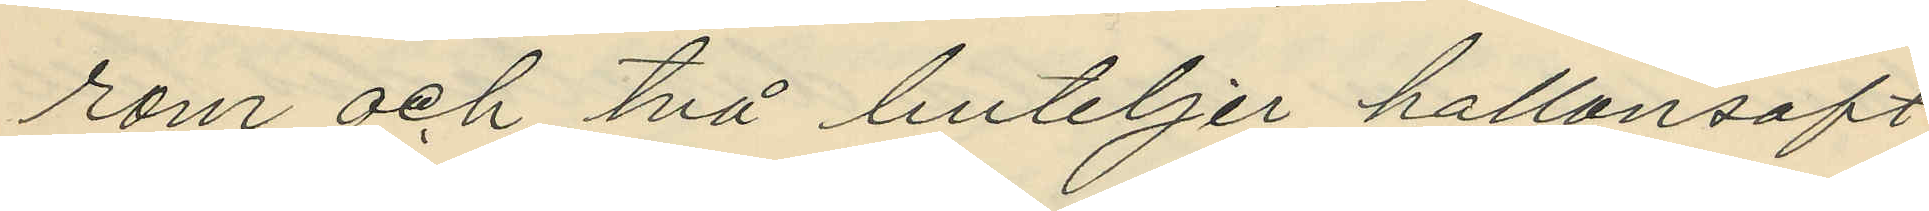rom och två buteljer hallonsaft
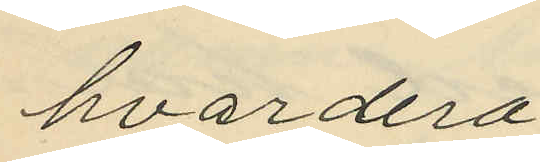hvardera;
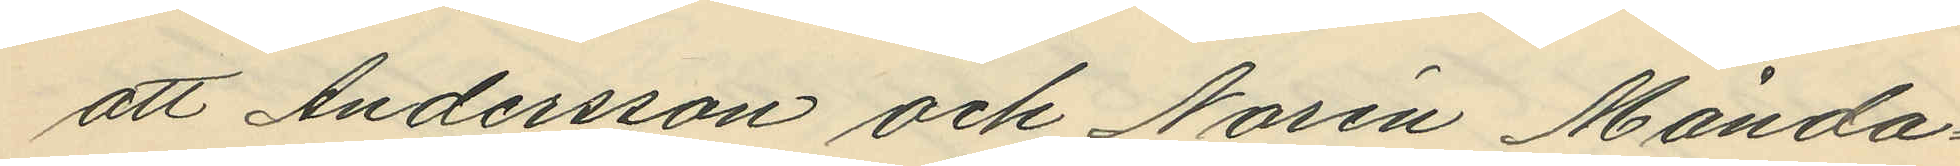att Andersson och Norén Månda¬
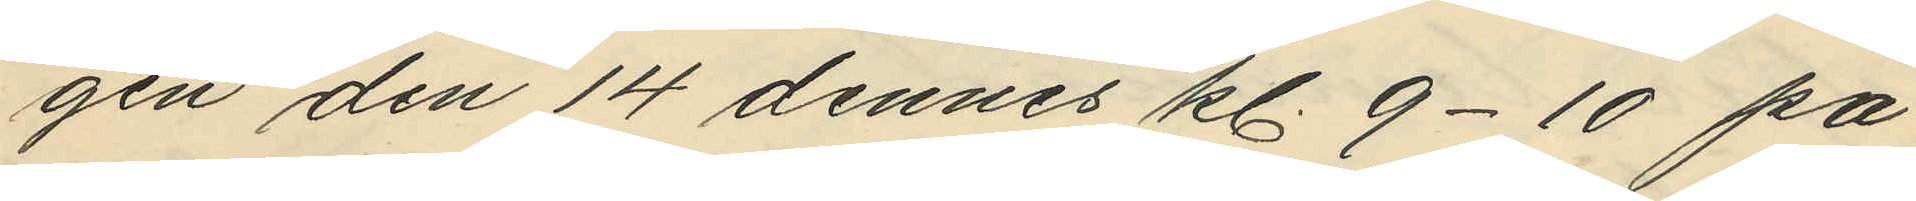gen den 14 dennes kl. 9-10 på
